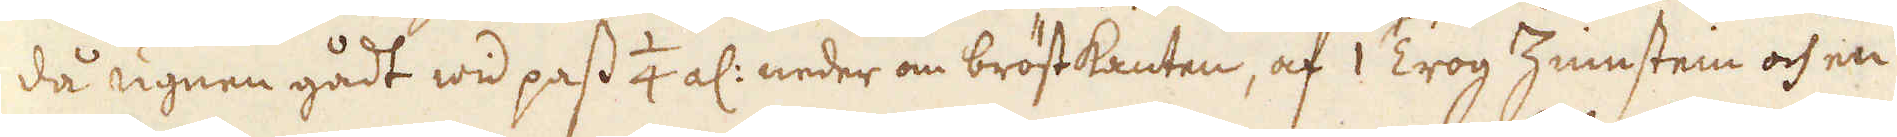då ugnen gådt wid pass 1/4 al: neder om bröstkanten, af 1 Trog Zinnstein och en
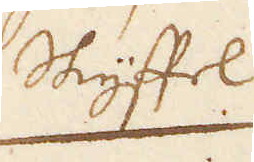Skyffel
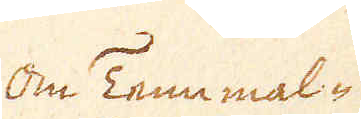Om Tenn mal-
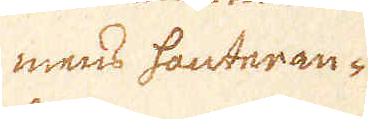mens hanteran-
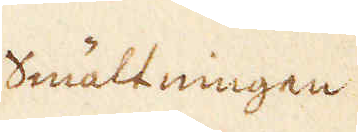smältningen
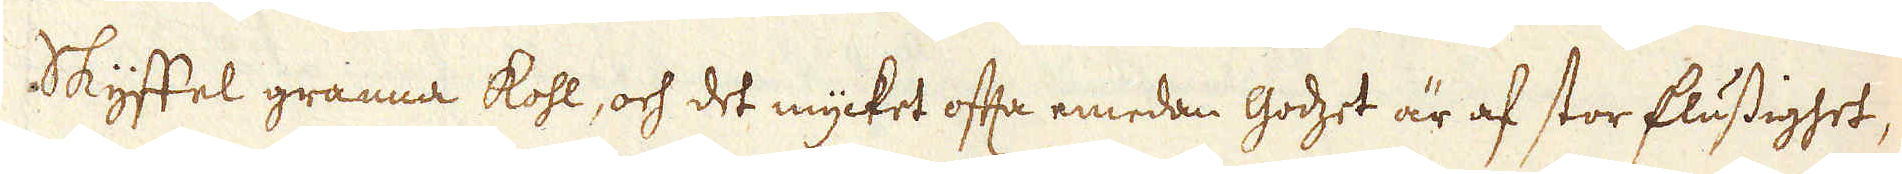Skyfftel granna kohl, och det mycket ofta emedan godzet är af stor flussighet,
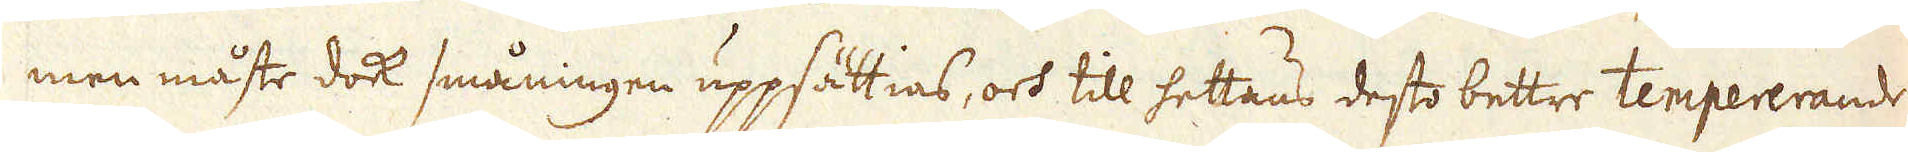men måste dock småningen uppsättias, och till hettans desto bettre tempererande
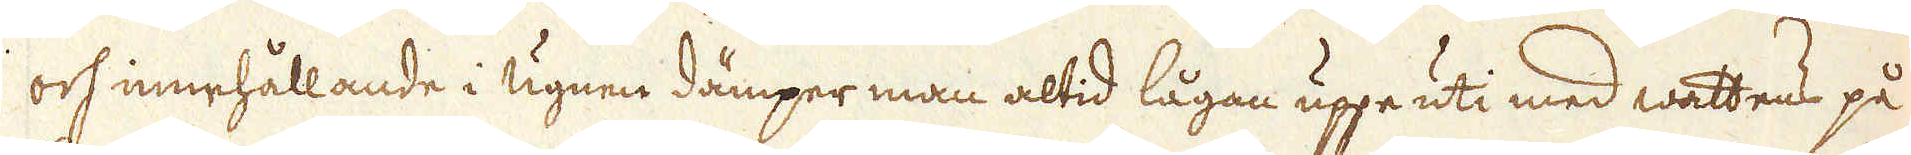och innehållande i ugnen dämper man altid lågan uppe uti med wattens på-
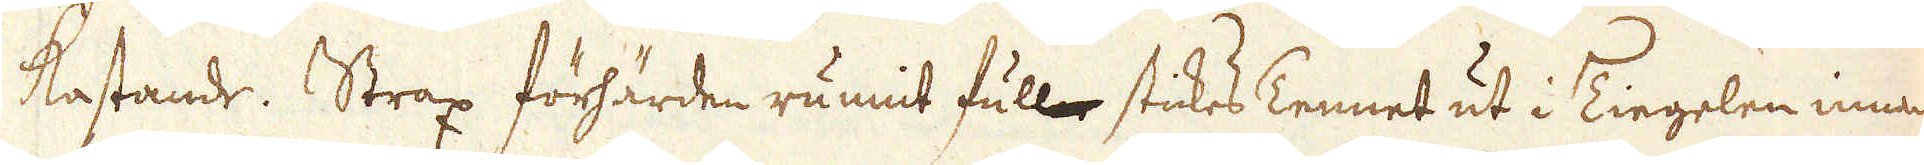kastande. Strax förhärden runnit full stickes Tennet ut i Tiegelen innan
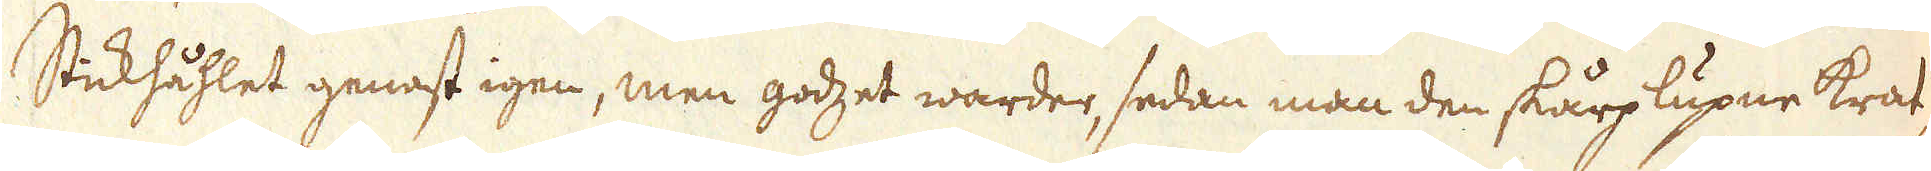Stickhåhlet genast igen, men godzet warder, sedan man den skårp lupne krat-
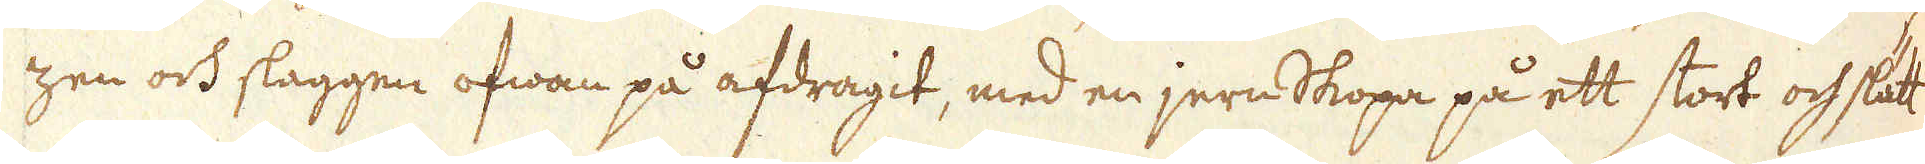zen och slaggen ofwan på afdragit, med en jern Skopa på ett stort och slätt
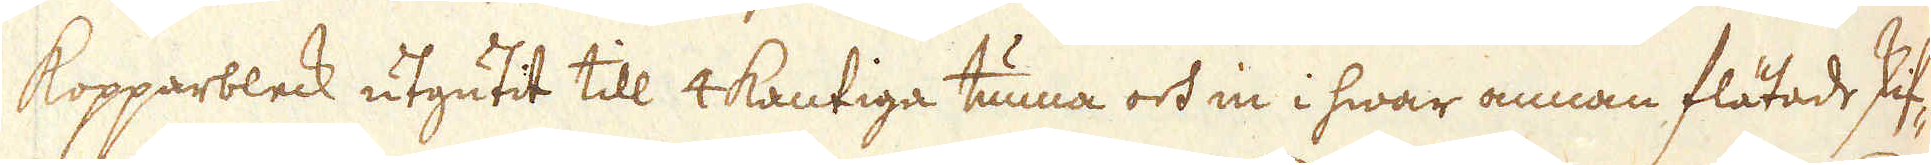Kopparbleck utgutit till 4kantiga tunna och in i hwar annan flätade skif-
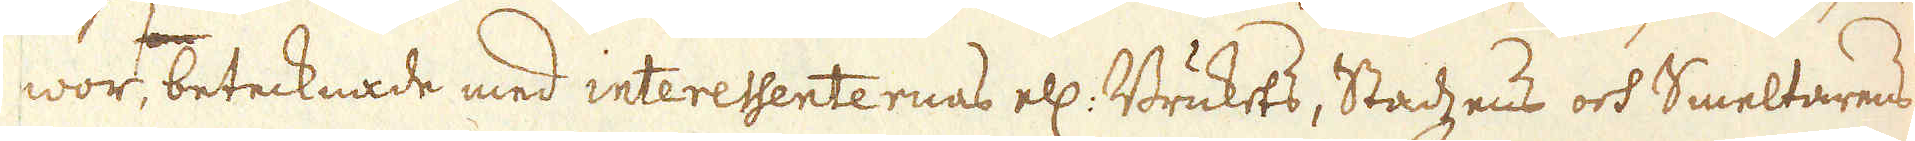wor, betecknade med interessenternas ell: Brukets, Stadzens och Smeltarens
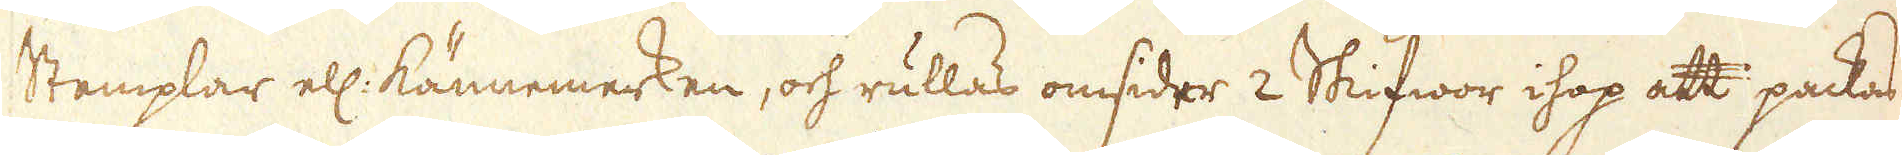Stemplar ell: kännemerken, och rullas omsider 2 Skifwor ihop att packas
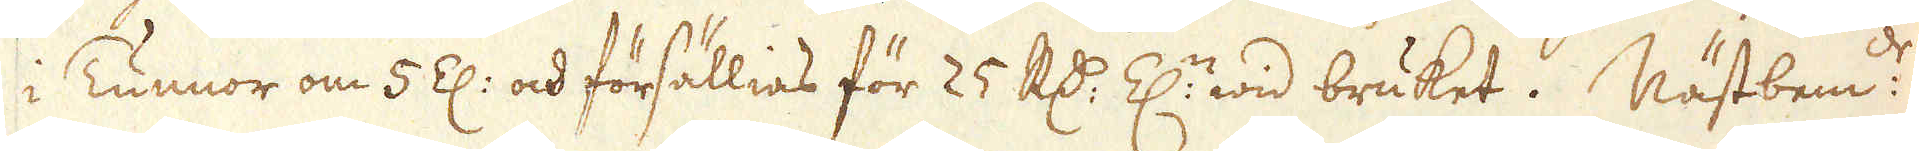i Tunnor om 5 Z: och försällias för 25 R:dr Z:n wid bruket. Nästbem:de
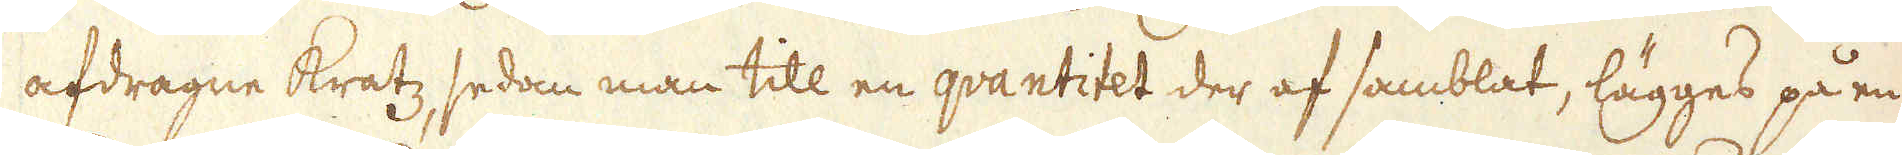afdragne kratz sedan man till en qvantitet der af samblat, lägges på en
